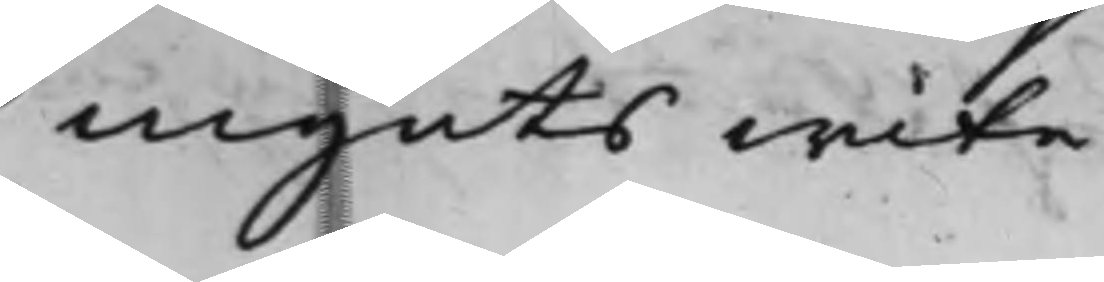mynts wite.
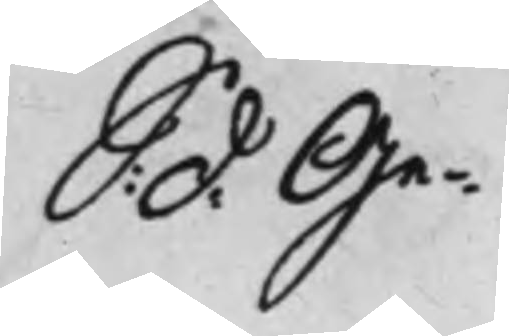S: d: Ge¬
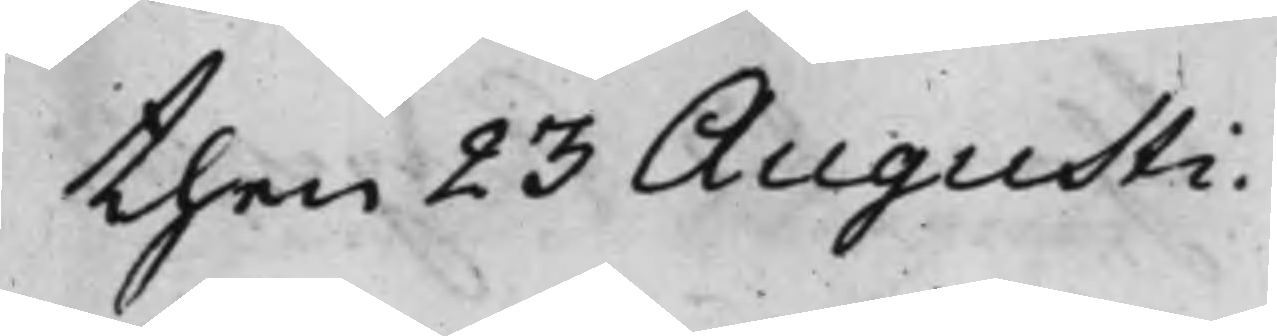then 23 Augusti.
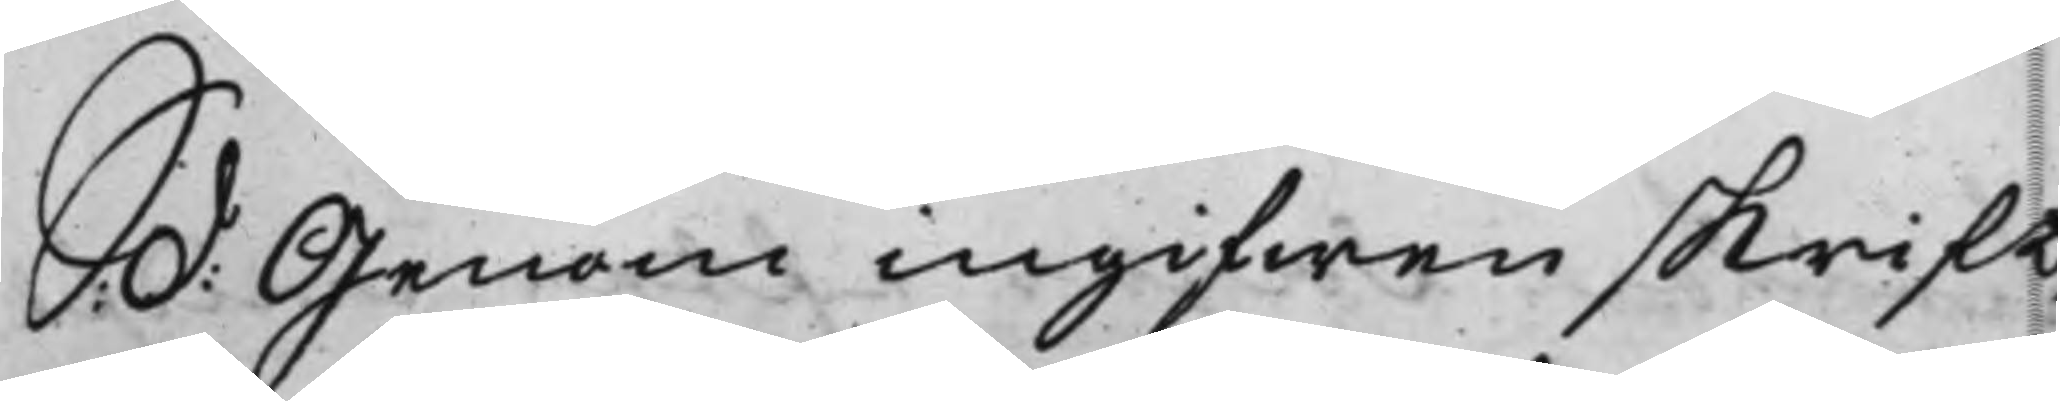S: d: Genom ingifwen skrift,
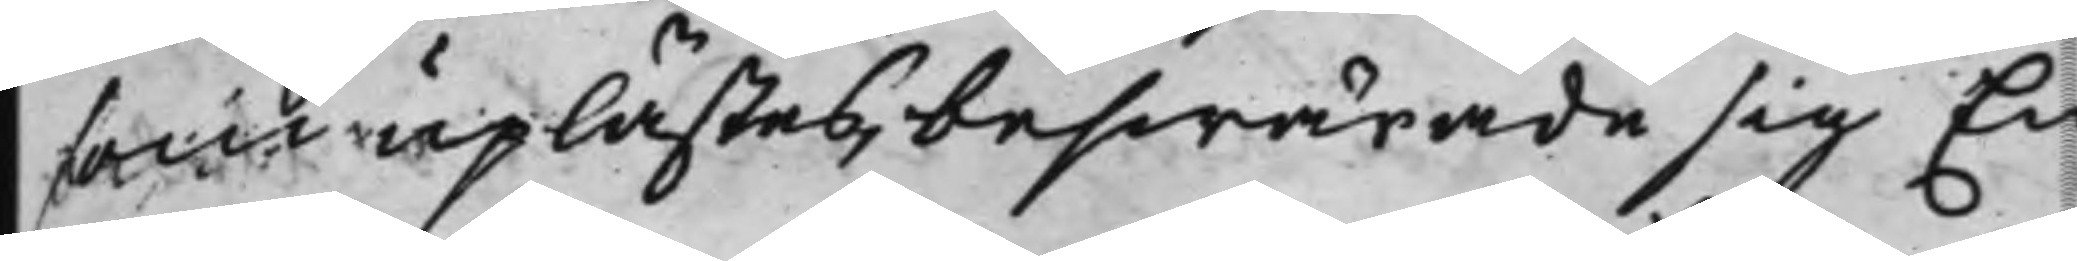som uplästes, beswärade sig En¬
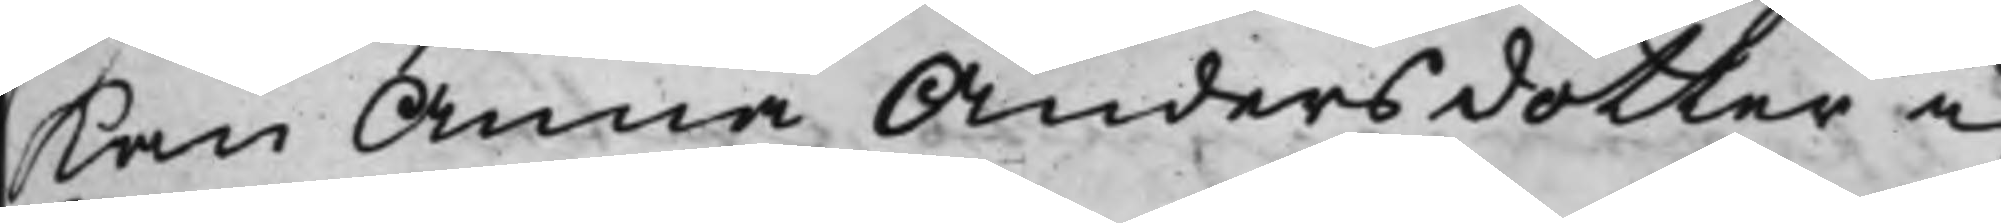Kan Anna Andersdotter i
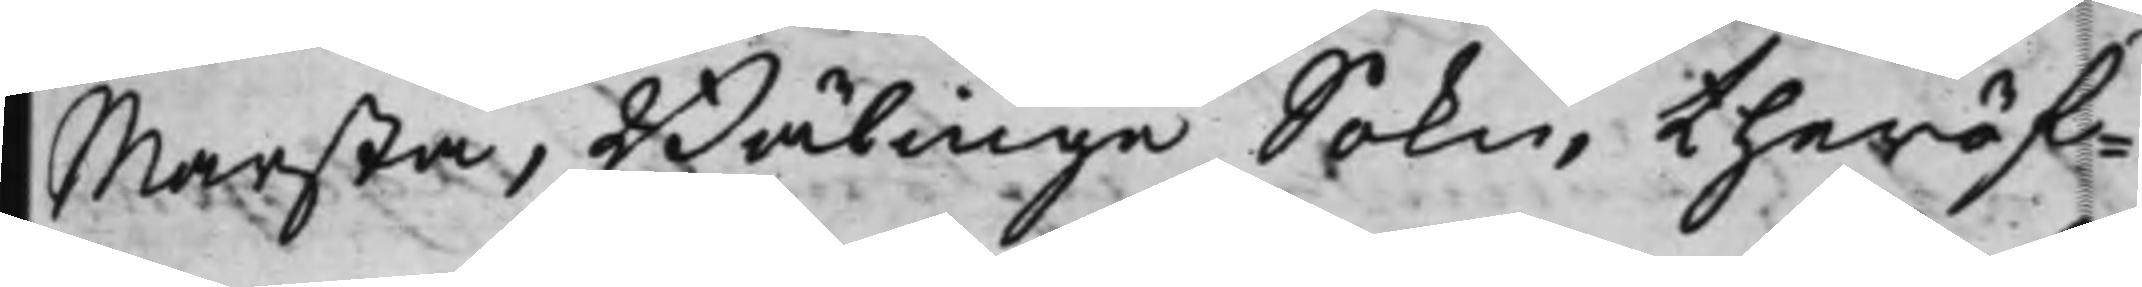Marsta, Bälinge Sokn, theröf¬
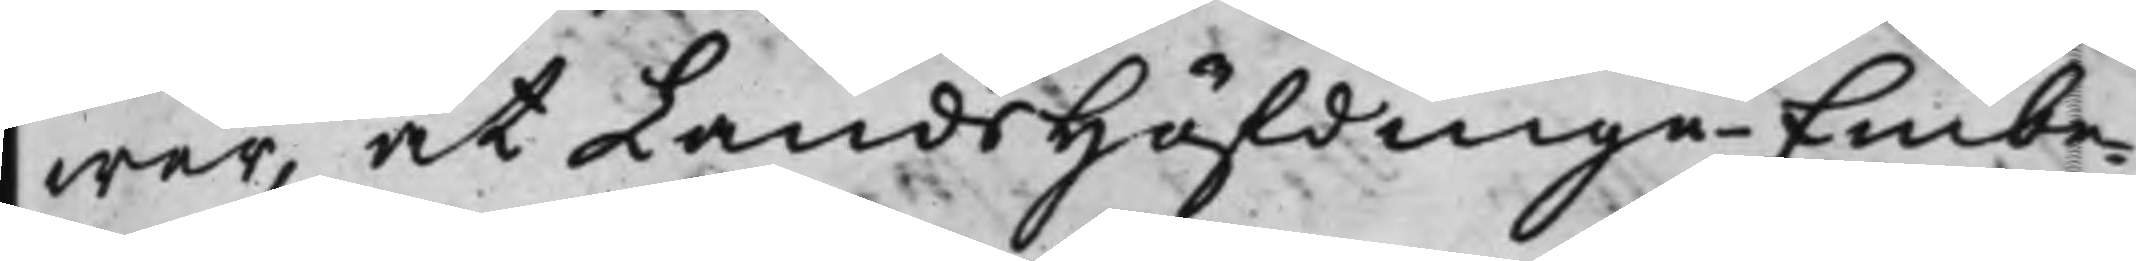wer, at LandsHöfdingeEmbe¬
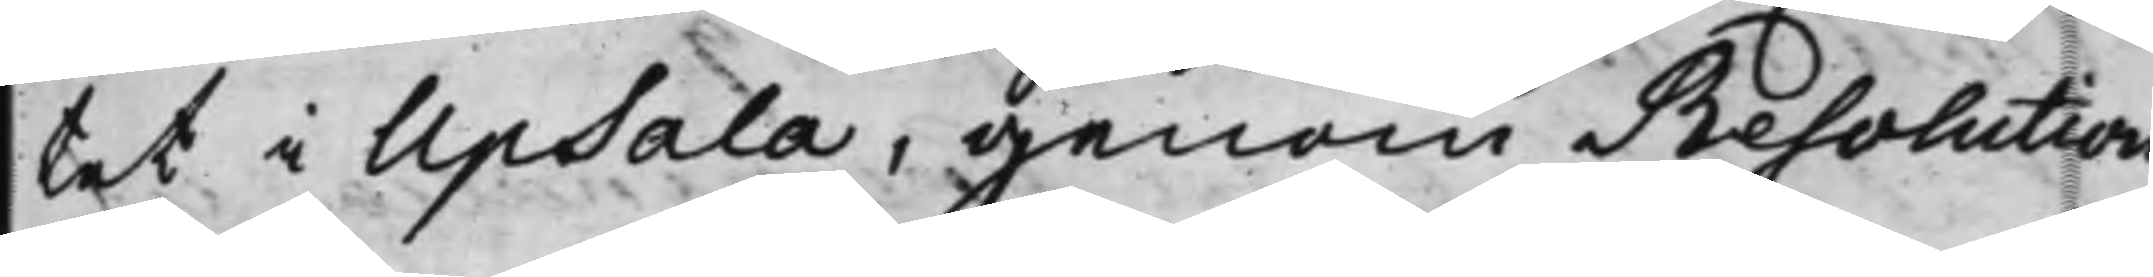tet i Upsala, genom Resolution
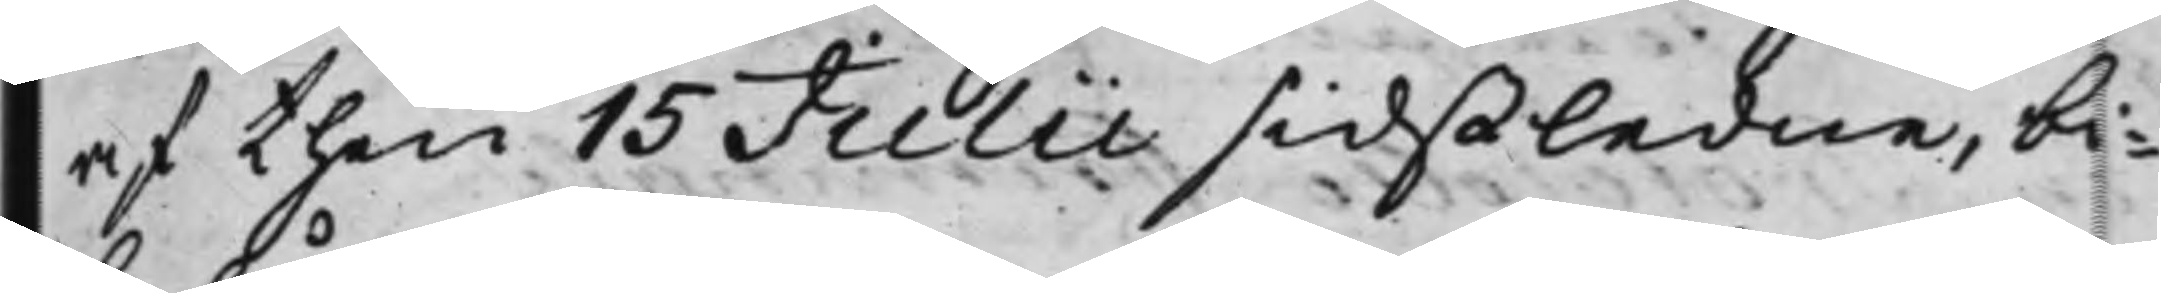af then 15 Julii sidstledne, bi¬
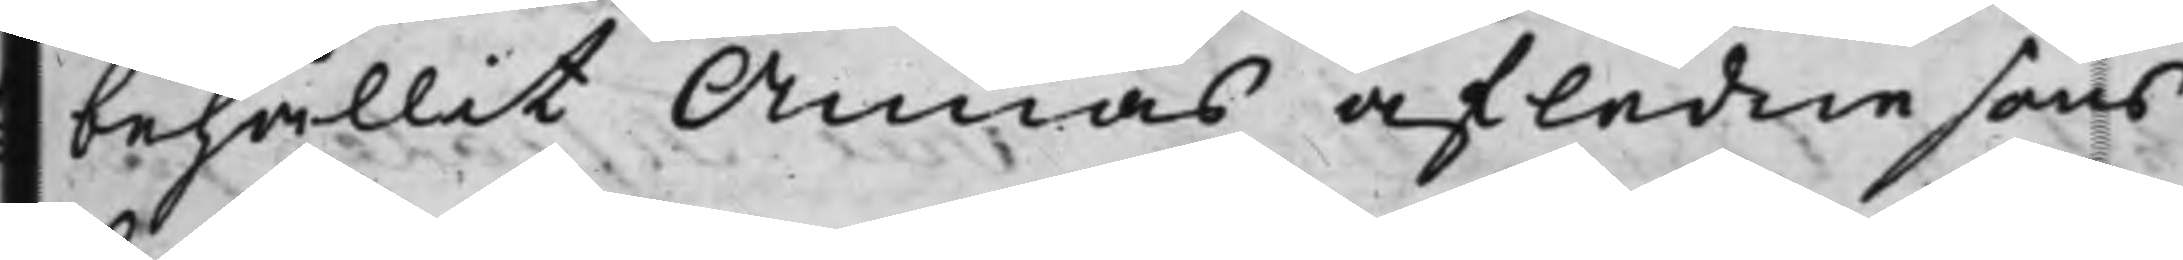behållit Annas afledne sons
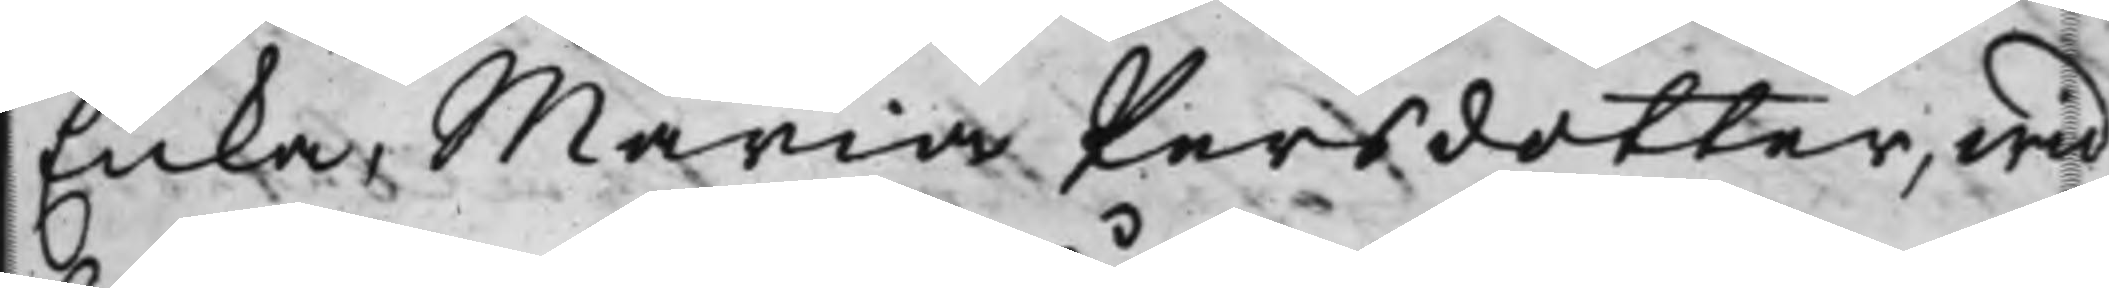Enka, Maria Persdotter, wid
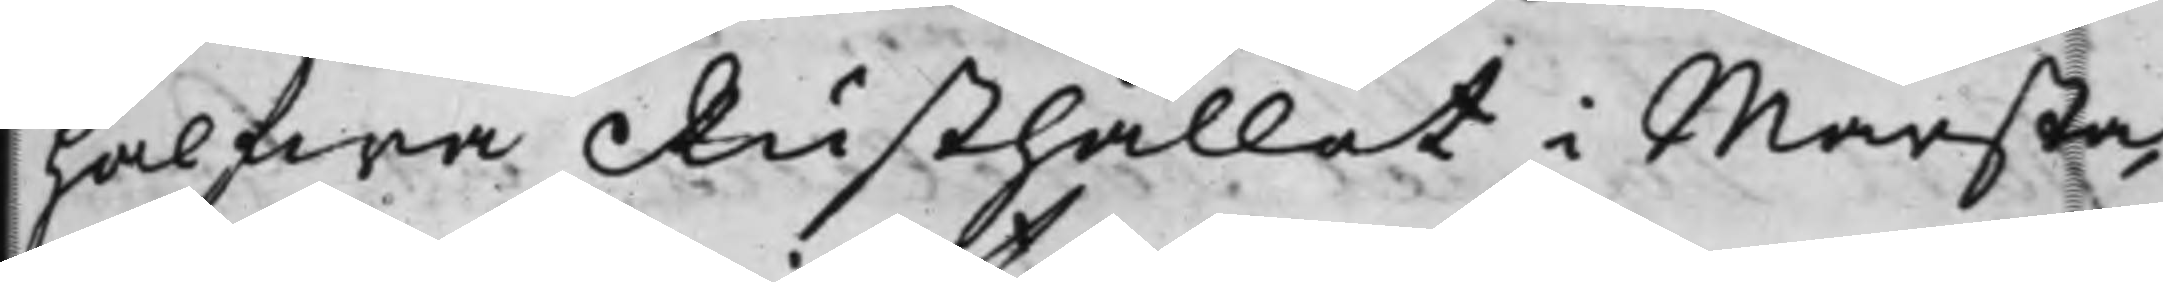halfwa Rusthållat i Marsta,
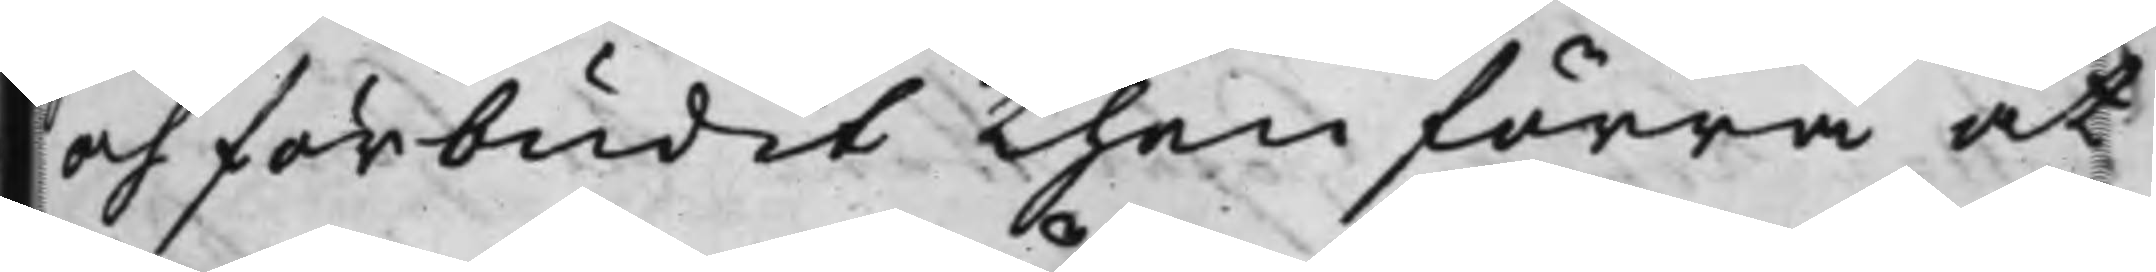och förbudit then förra at
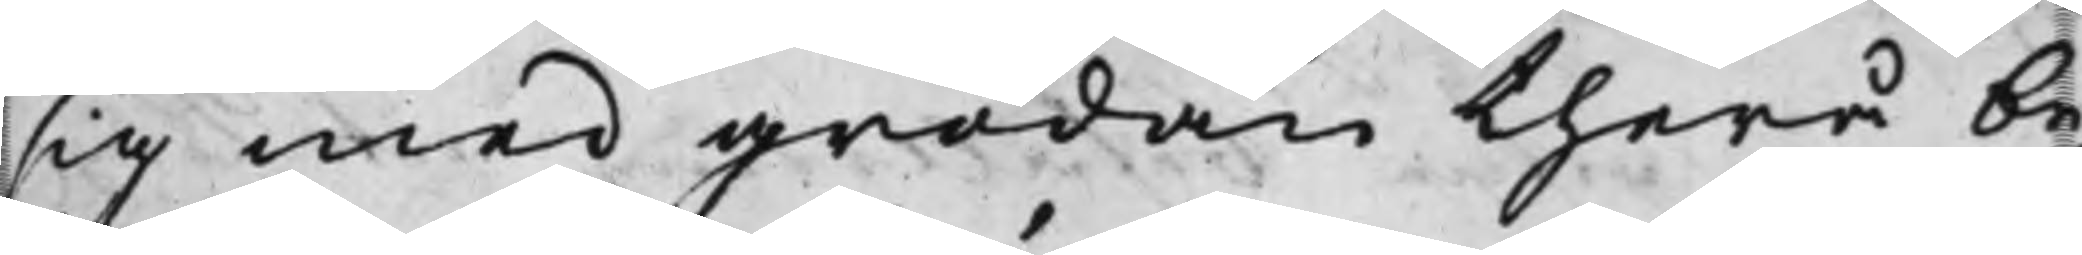sig med grödan therå be¬
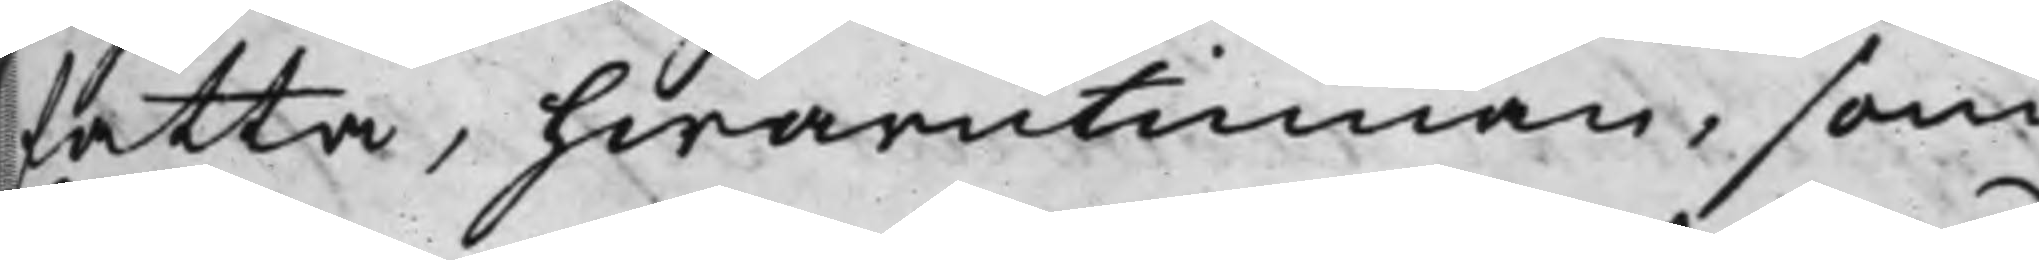fatta, hwarutinnan, som
